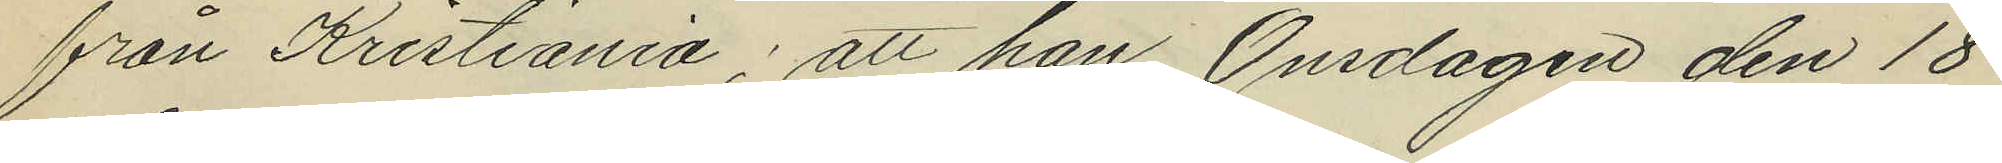från Kristiania; att han Onsdagen den 18
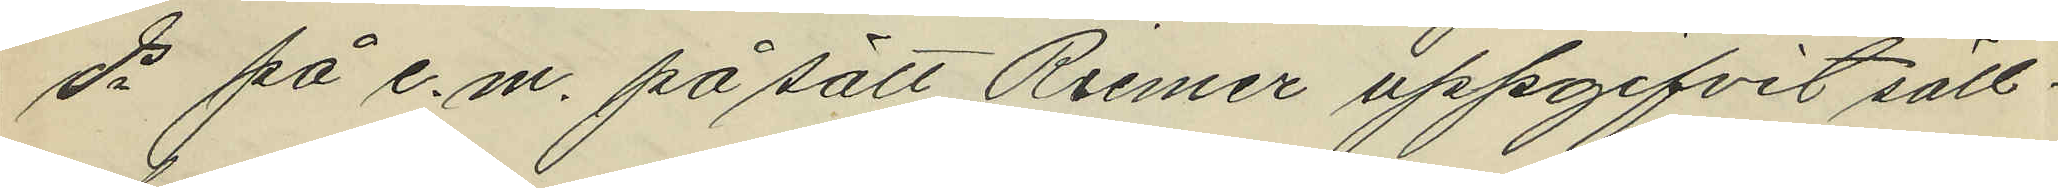ds på e.m. på sätt Riemer uppgifvit säll¬
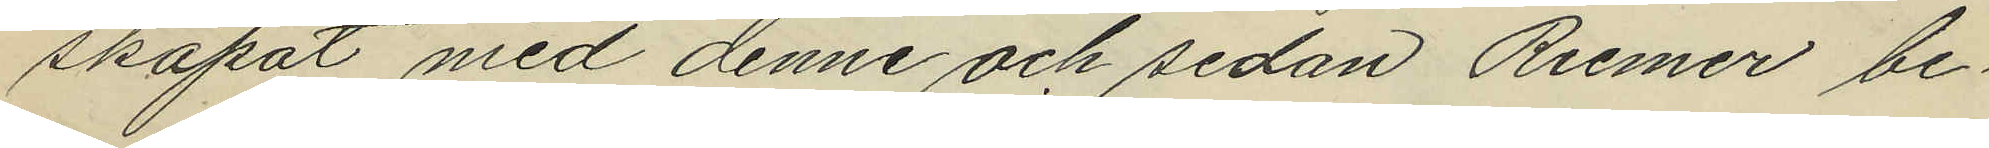skapat med denne och sedan Riemer be¬
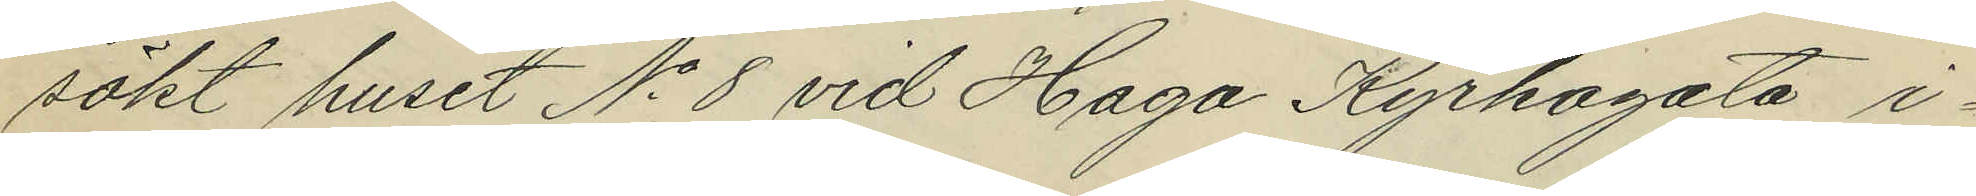sökt huset No 8 vid Haga Kyrkogata i¬
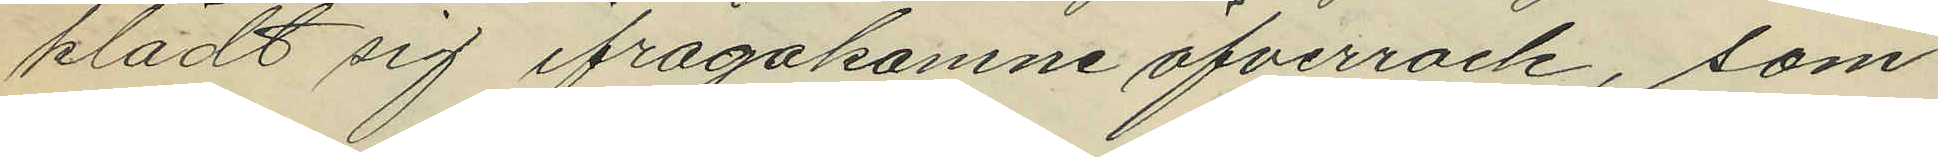klädt sig ifrågakomne öfverrock, som
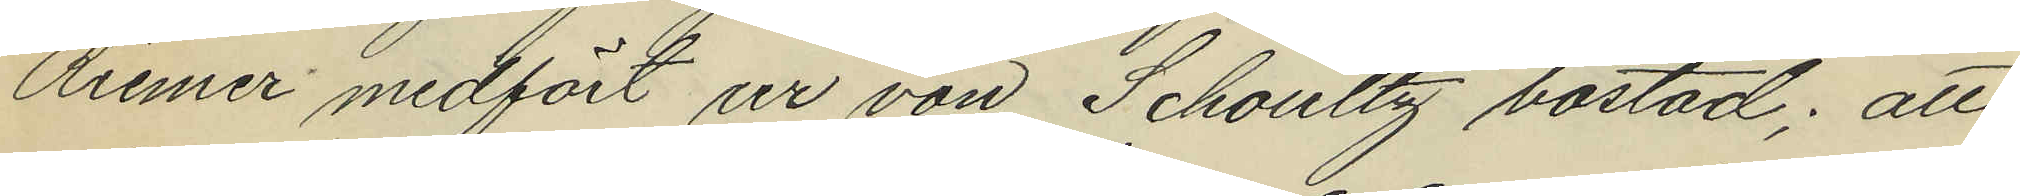Riemer medfört ur von Schoultz bostad; att
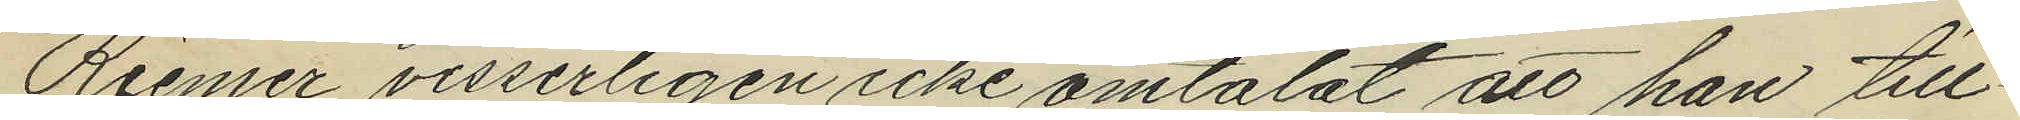Riemer visserligen icke omtalat att han till¬
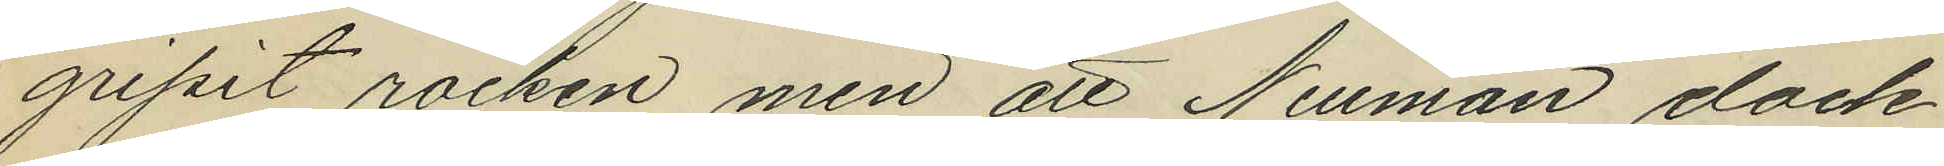gripit rocken, men att Neuman dock
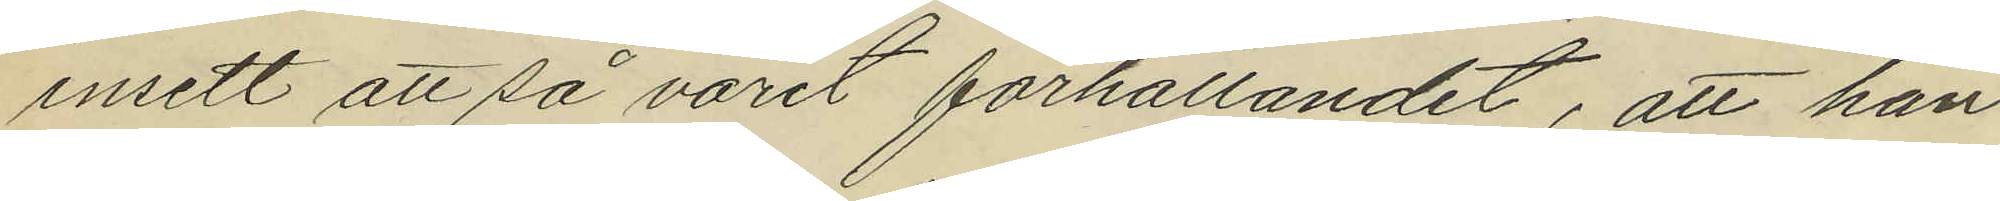insett att så varit förhållandet, att han
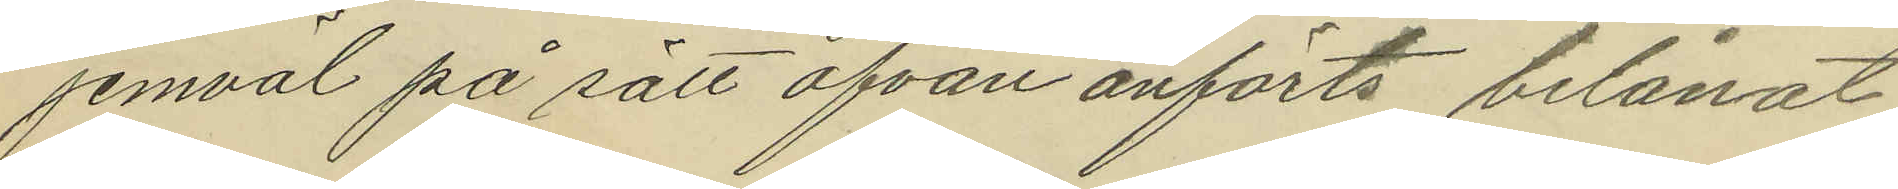jemväl på sätt ofvan anförts belånat
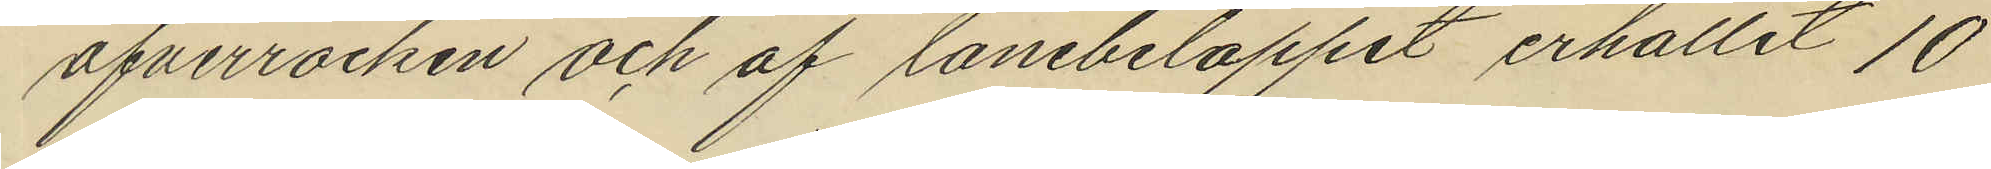öfverrocken och af lånebeloppet erhållit 10
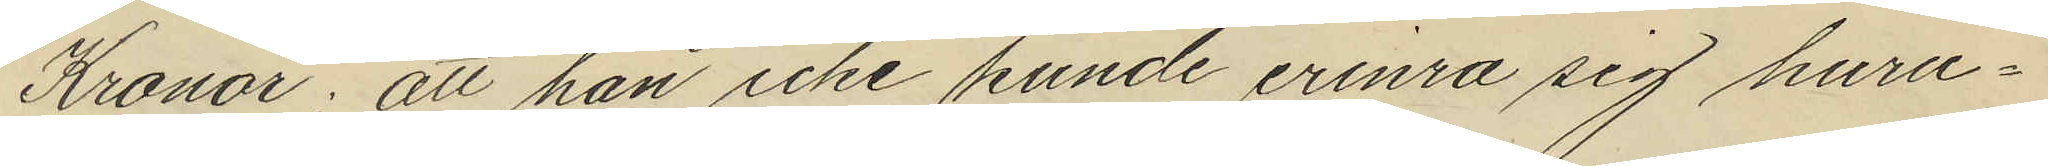Kronor; att han icke kunde erinra sig huru¬
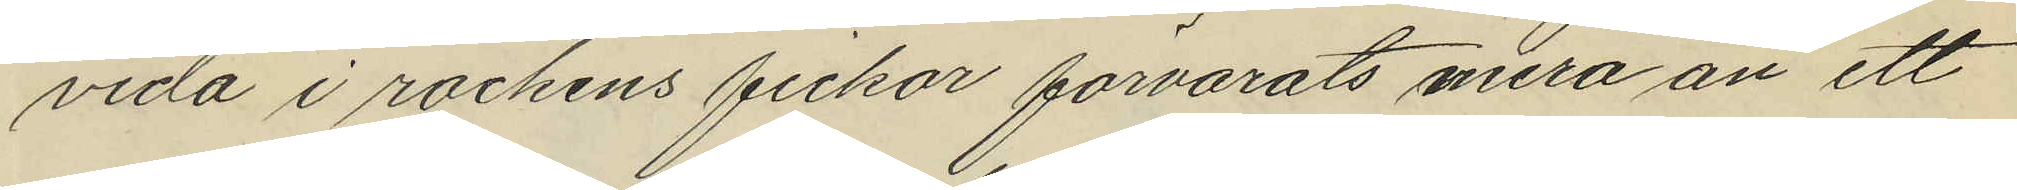vida i rockens fickor förvarats mera än ett
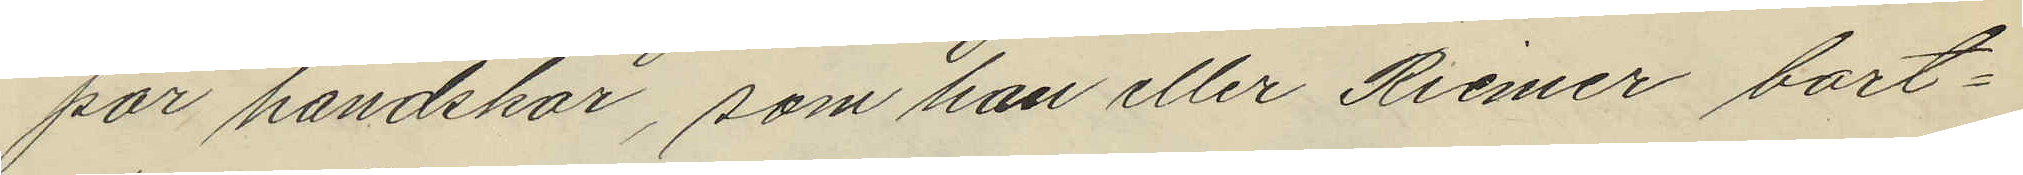par handskar, som han eller Riemer bort¬
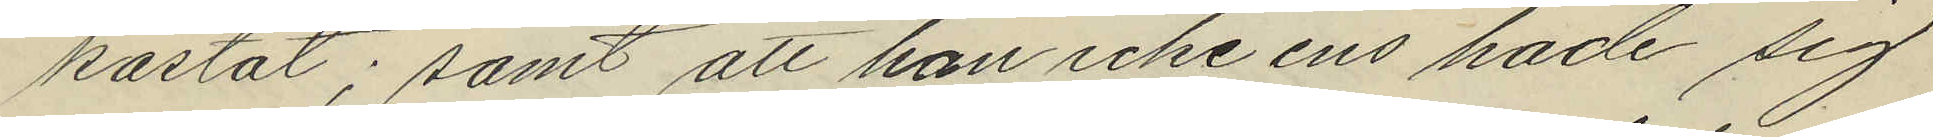kastat; samt att han icke ens hade sig
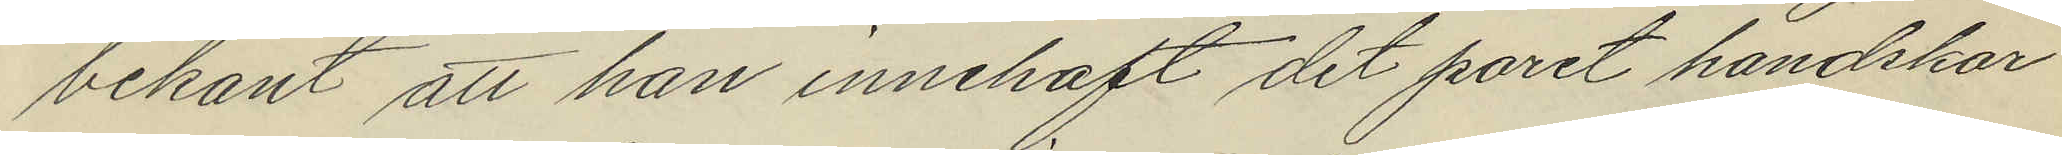bekant att han innehaft det paret handskar
